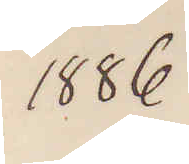1886
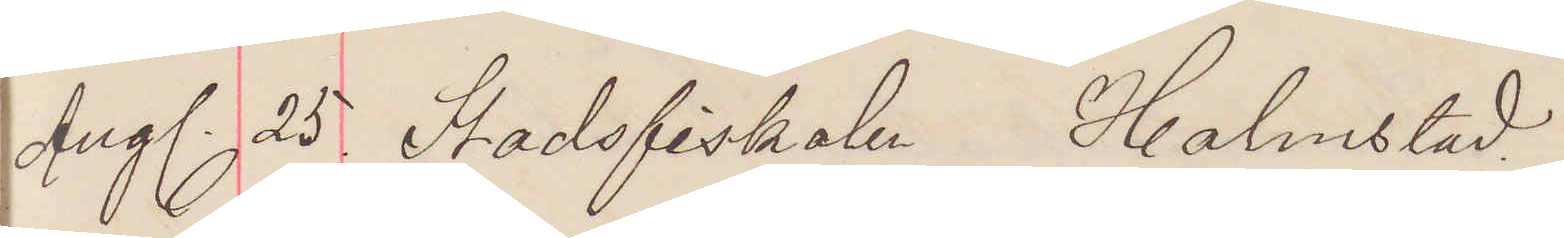Aug. 25. Stadsfiskalen Halmstad.
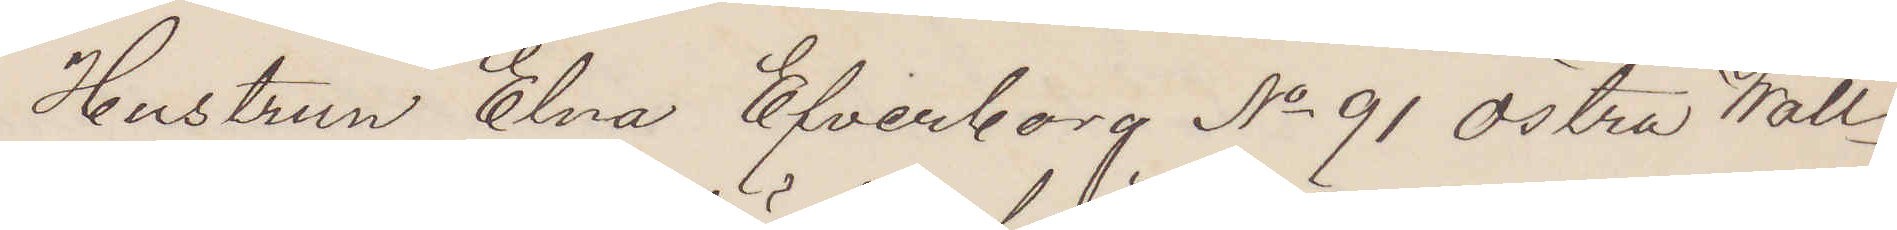Hustrun Elna Efverborg No 91 Östra Wall¬
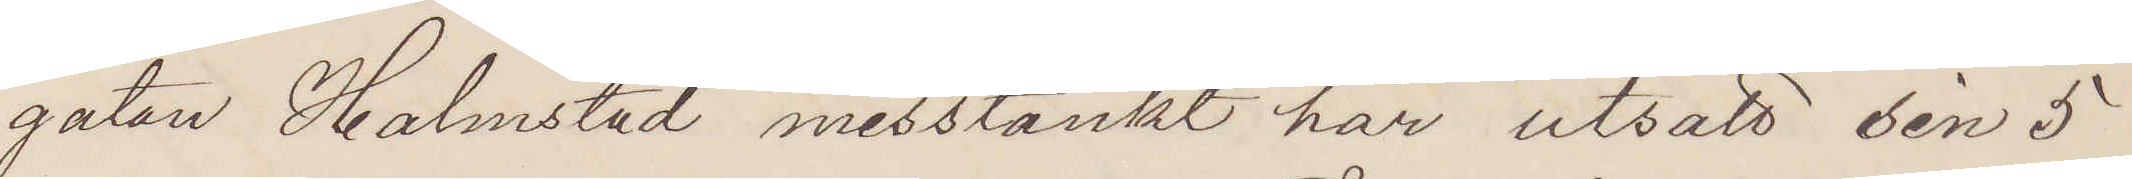gatan, Halmstad misstänkt här utsatt den 5
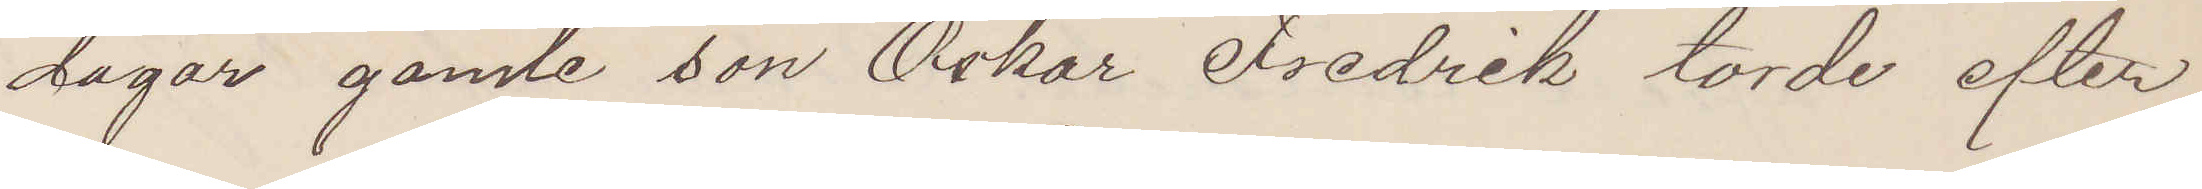dagar gamle son Oskar Fredrik torde efter¬
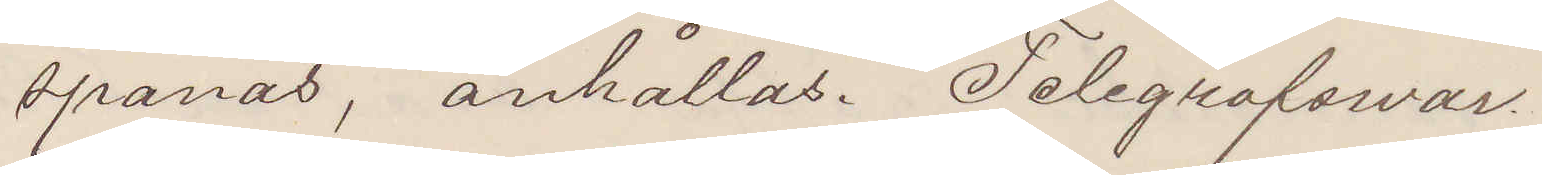spanas, anhållas. Telegrafswar.
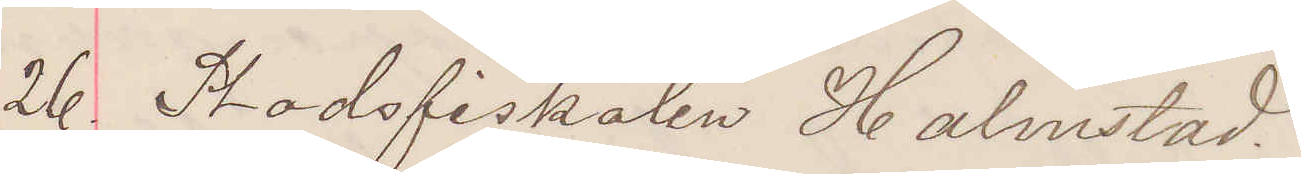26. Stadsfiskalen Halmstad.
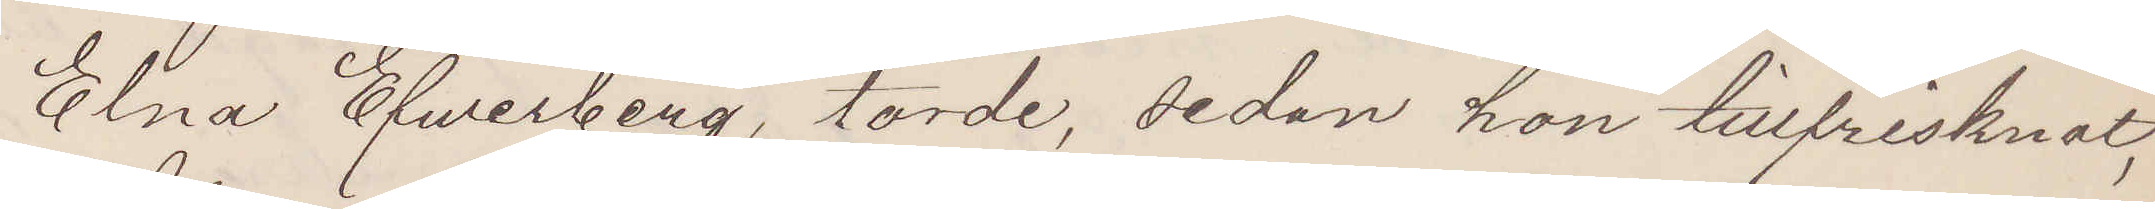Elna Efwerberg, torde, sedan hon tillfrisknat,
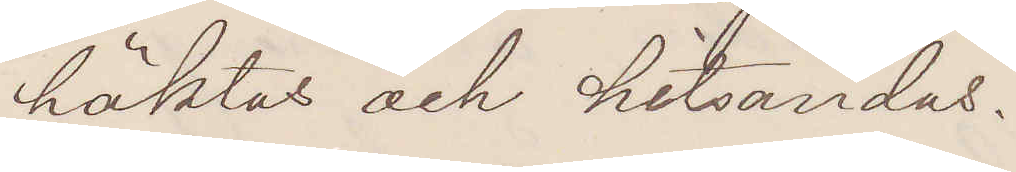häktas och hitsändas.
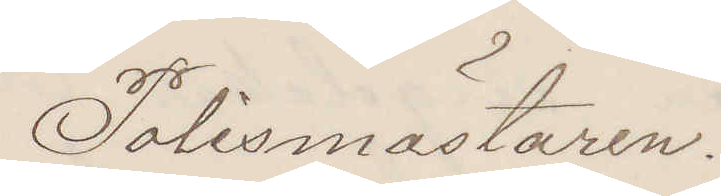Polismästaren.
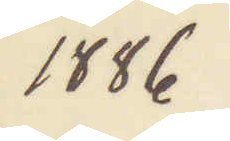1886
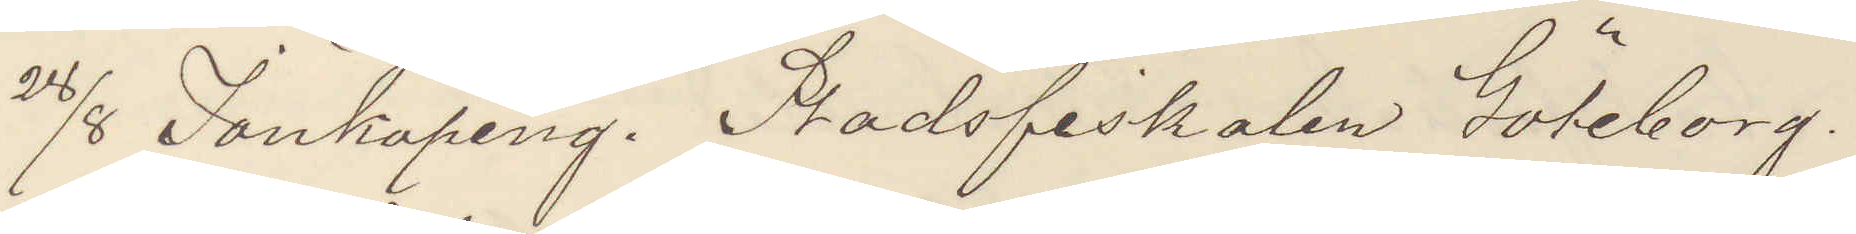28/8 Jönköpeng. Stadsfiskalen Göteborg.
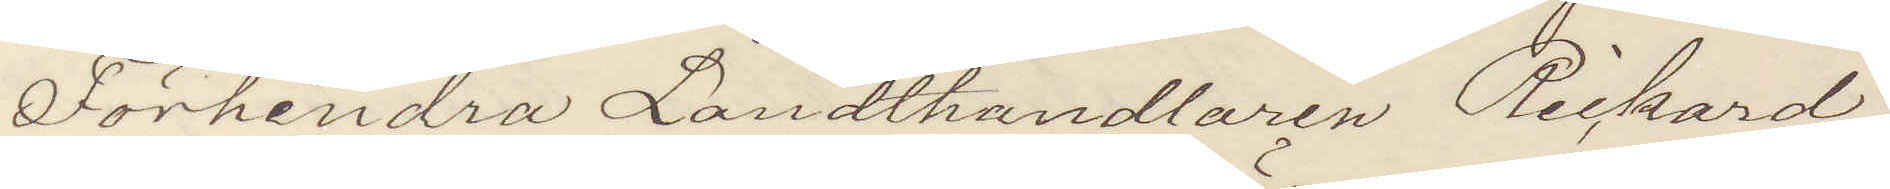Förhindra Landthandlaren Rickard
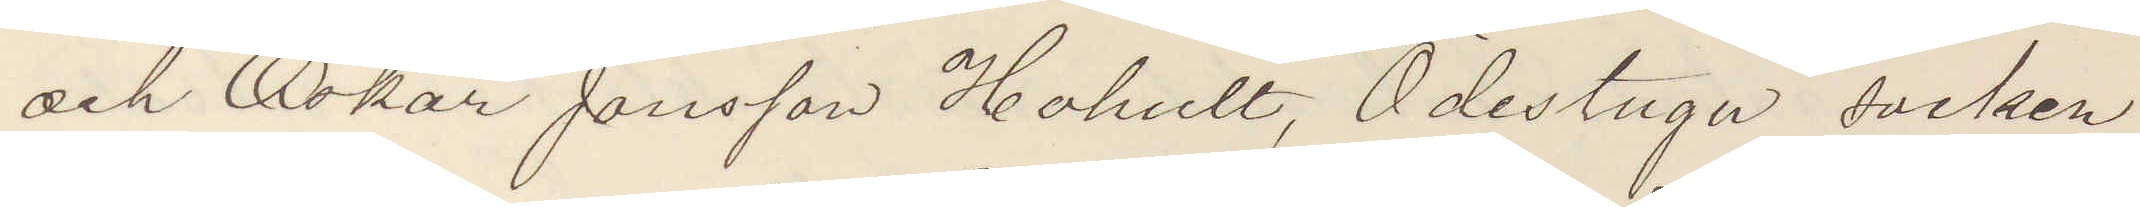och Oskar Jönsson Hohult, Ödestugu socken
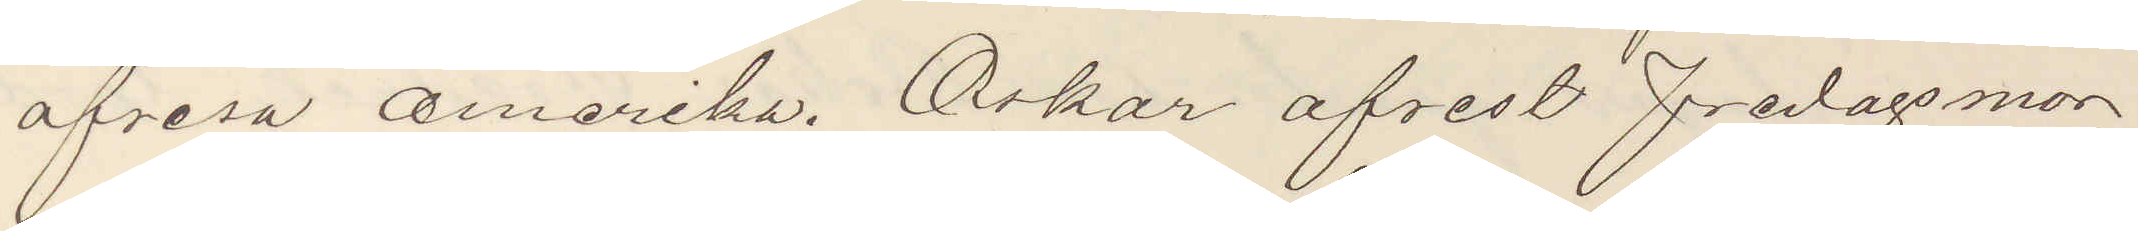afresa Amerika. Oskar afrest fredagsmor¬
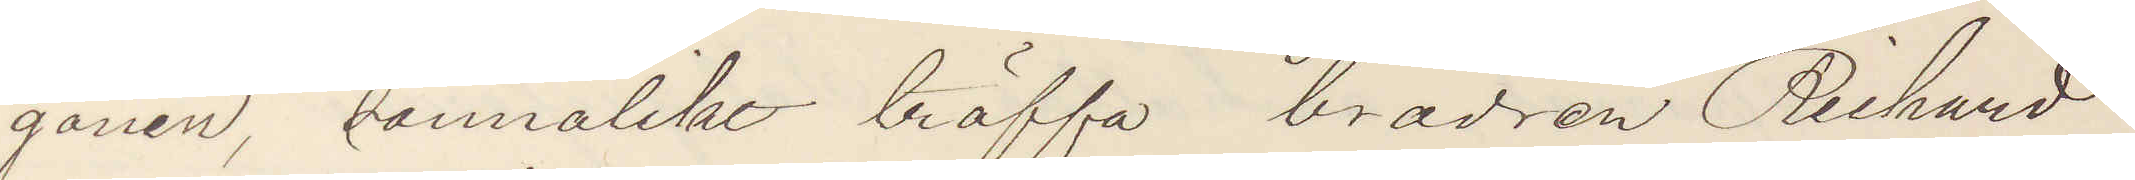gonen sannolikt träffa brodren Richard
